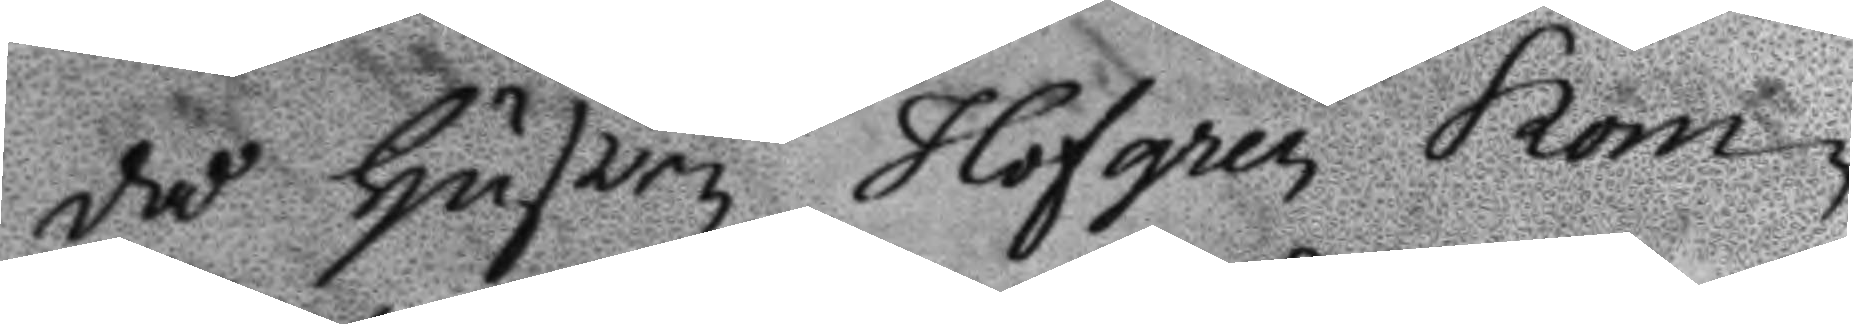då hustru Hofgren kom¬
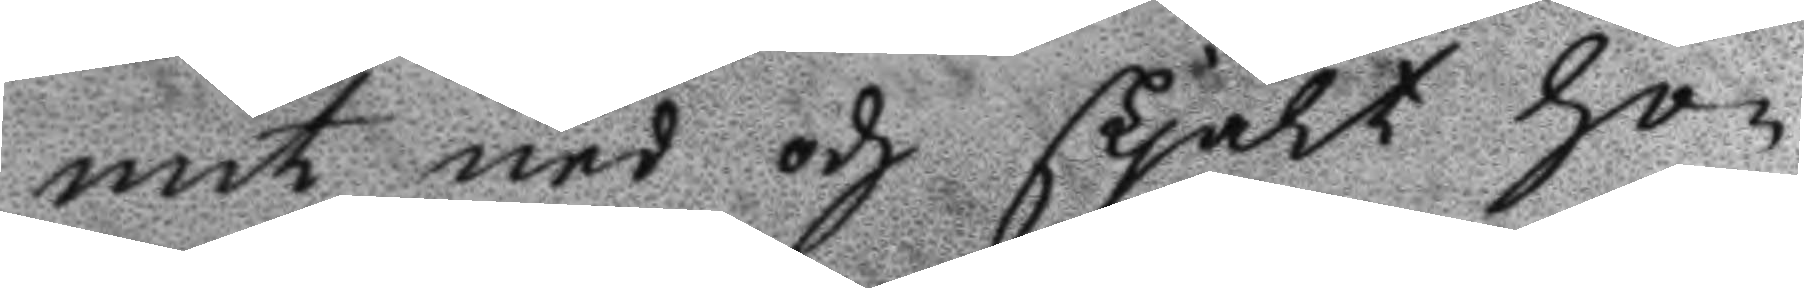mit ned och skjält hon¬
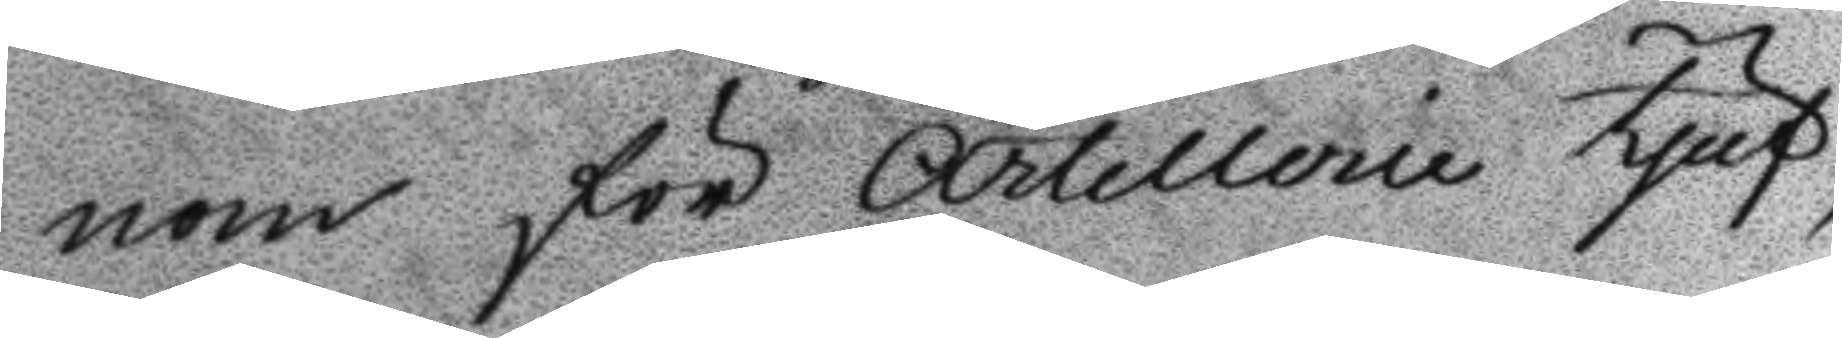nom för Artillerie tjuf,
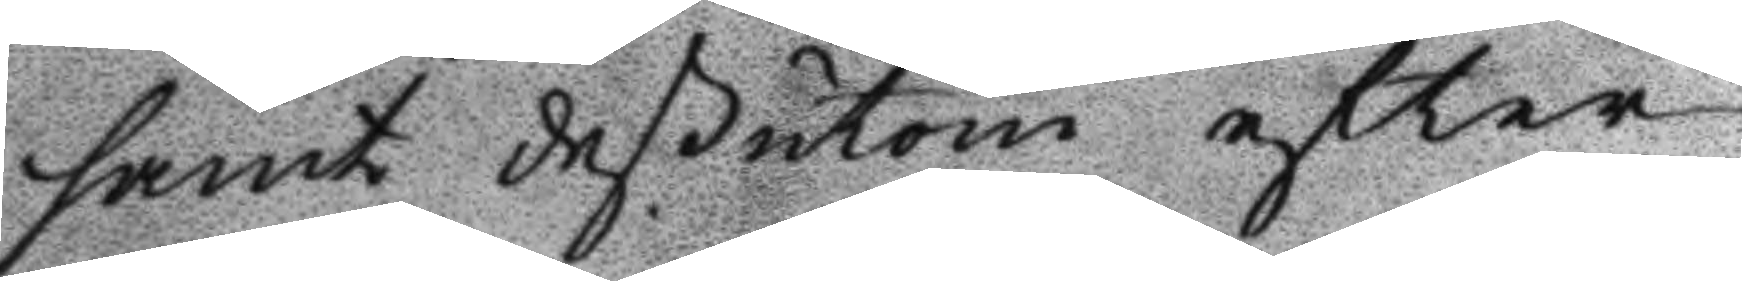samt deßutom efter
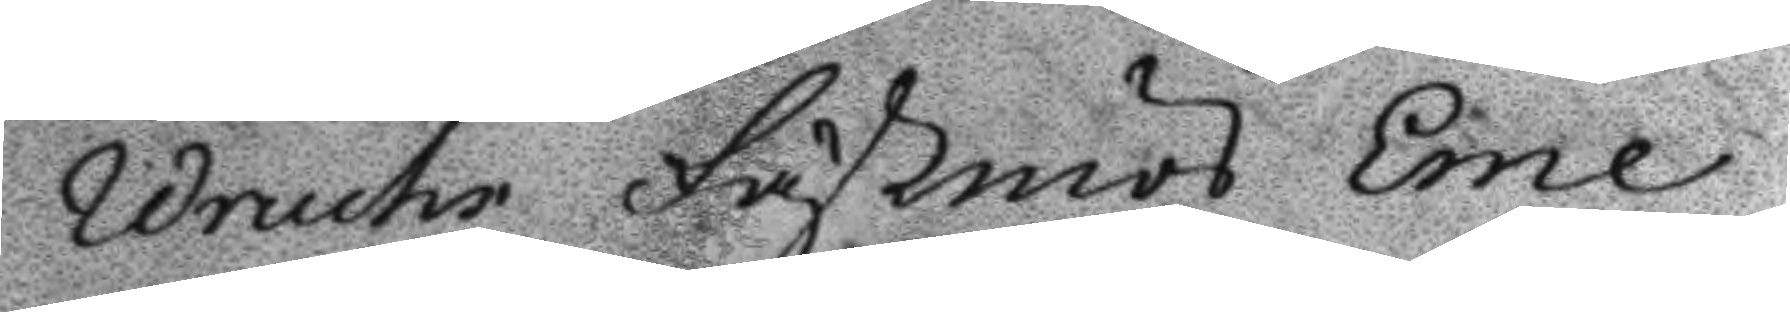Wruchs Fästmös Eme¬
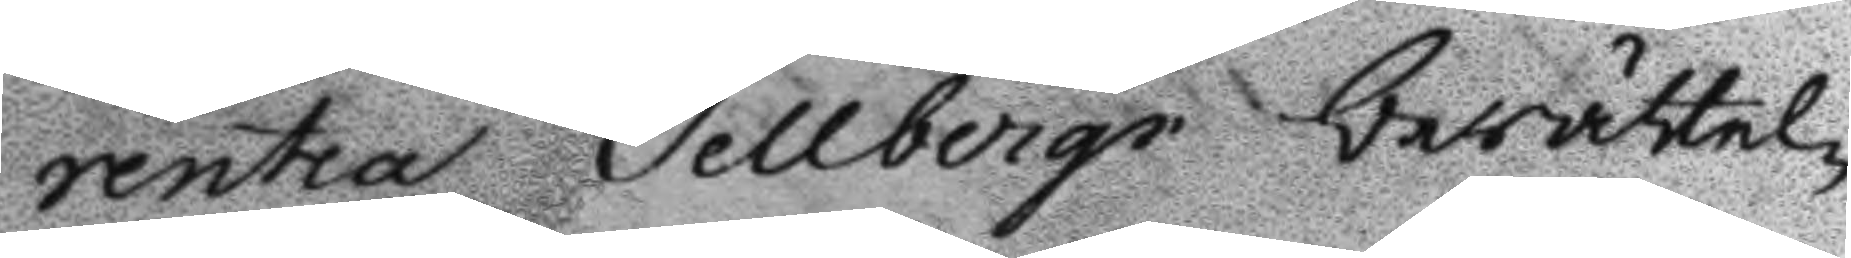rentia Sellbergs berättel¬
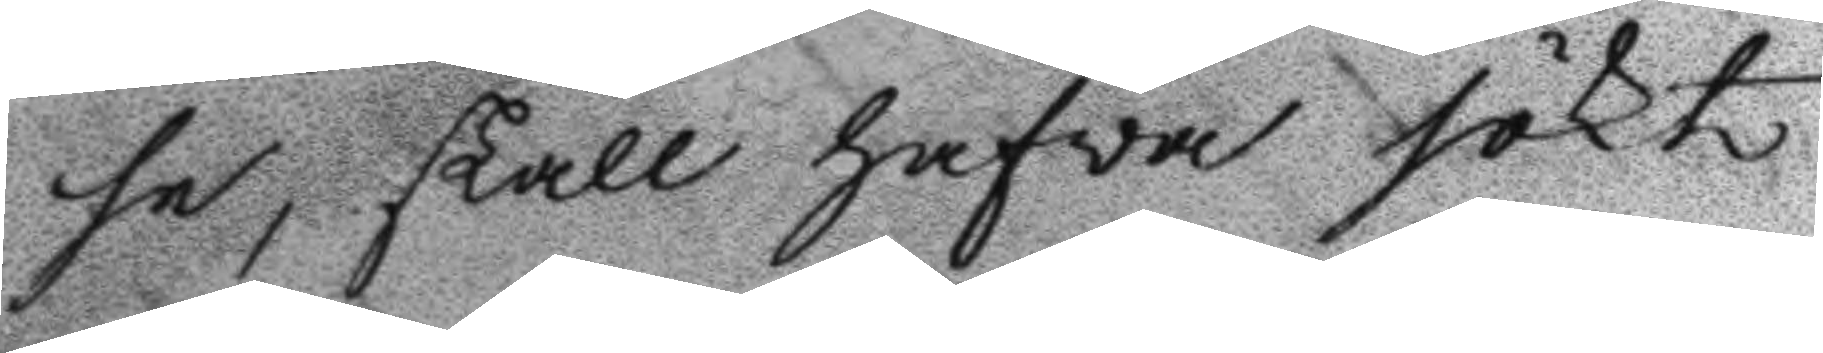se, skall hafva sökt
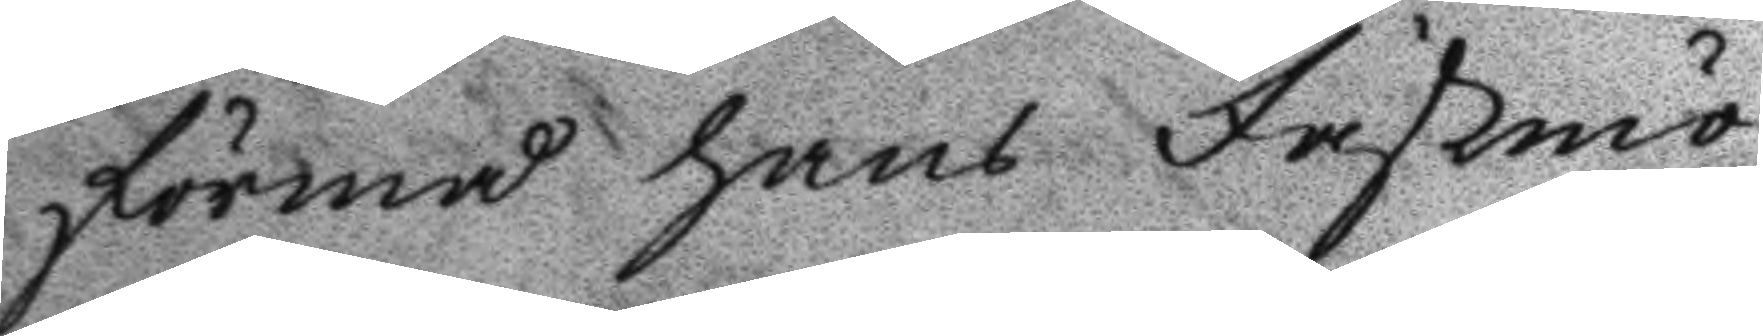förmå hans Fästmö
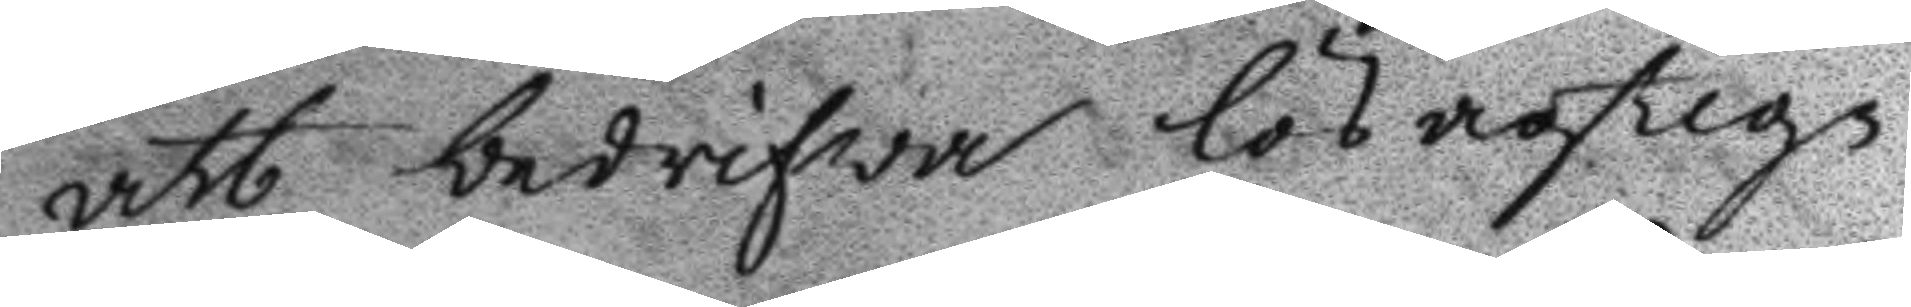att bedrifwa lösagtig¬
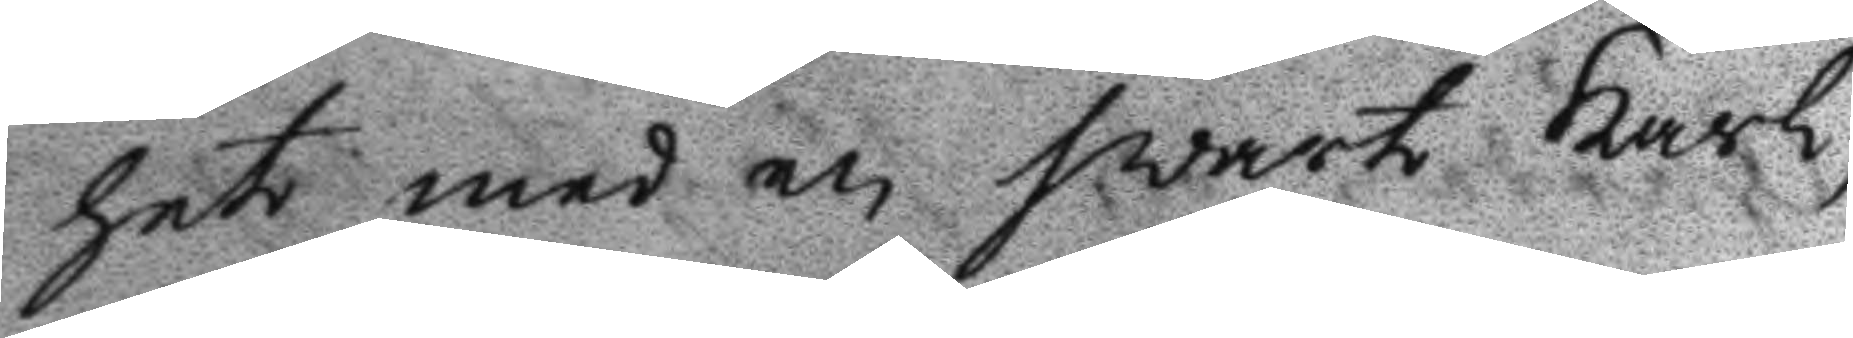het med en svart karl,
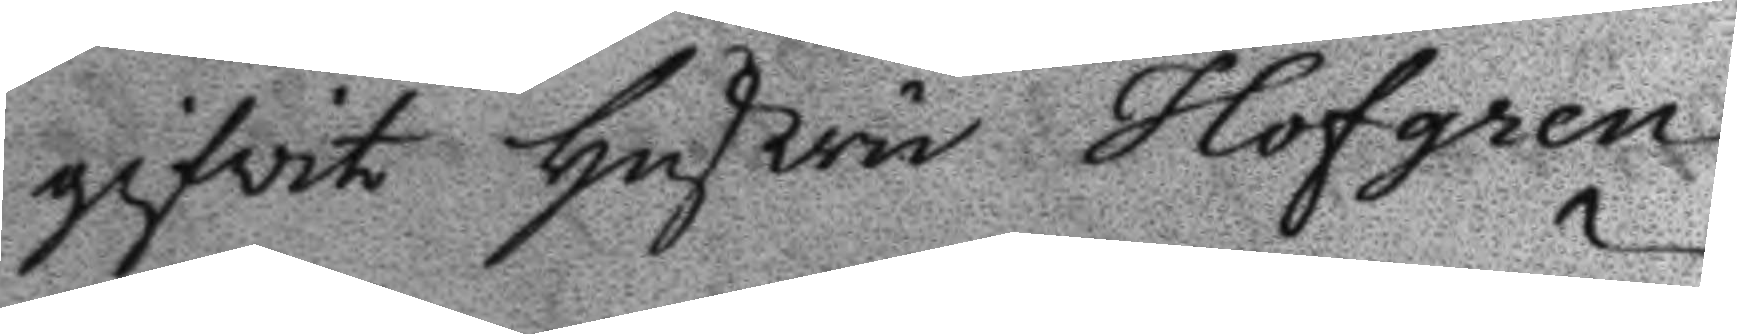gifvit hustru Hofgren
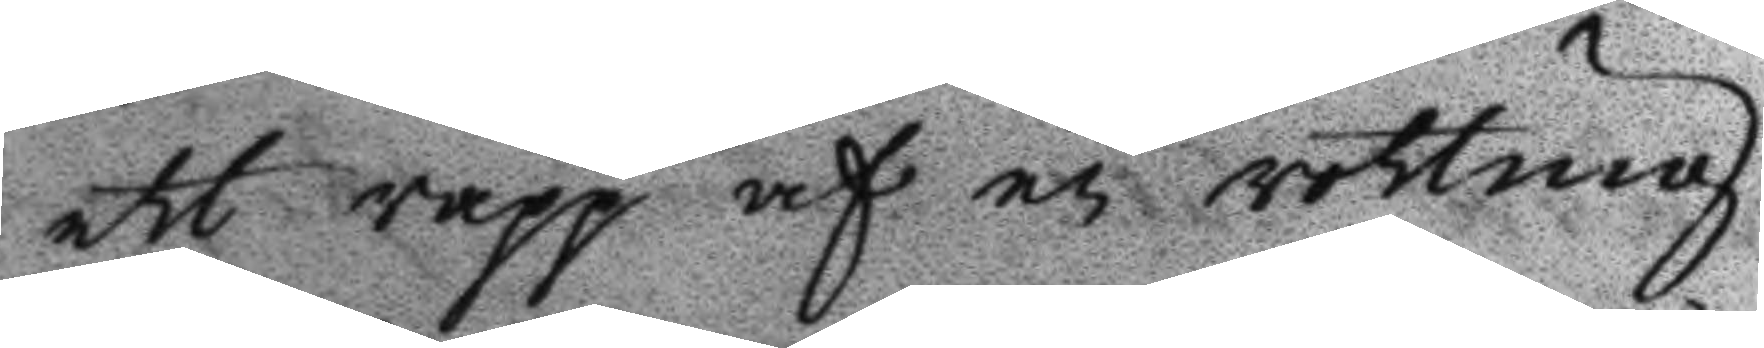ett rapp af en rotting
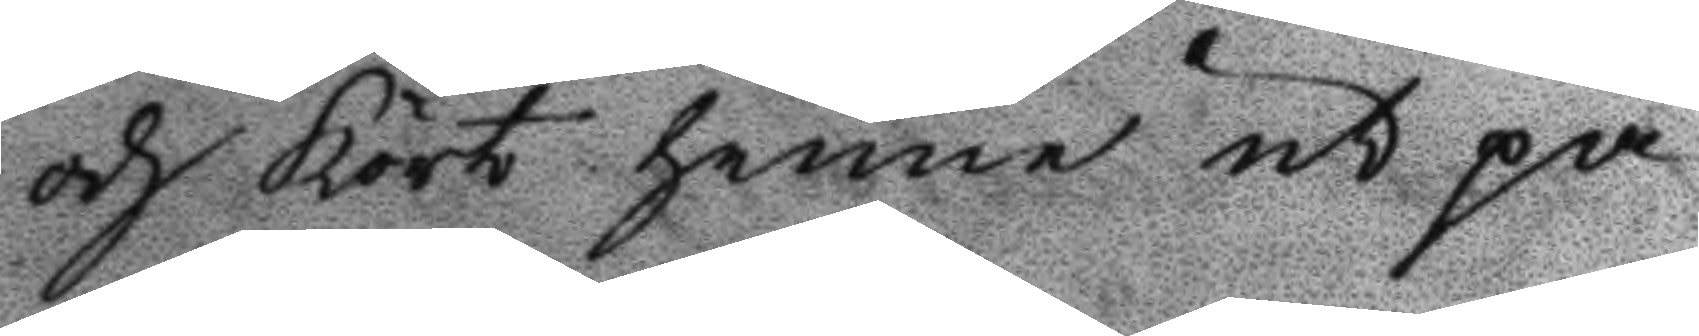och kört henne ut på
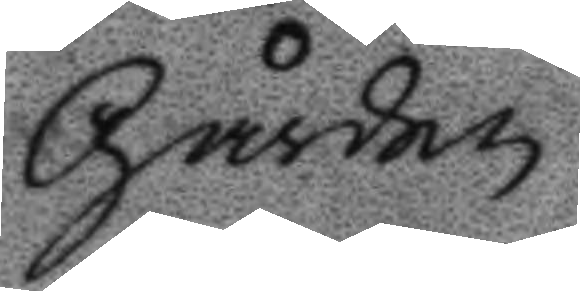Gården.
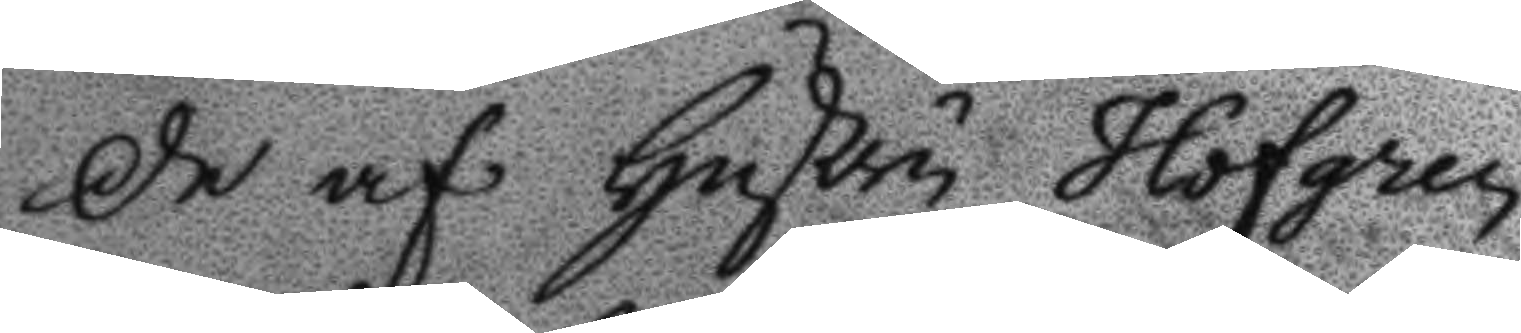De af hustru Hofgren
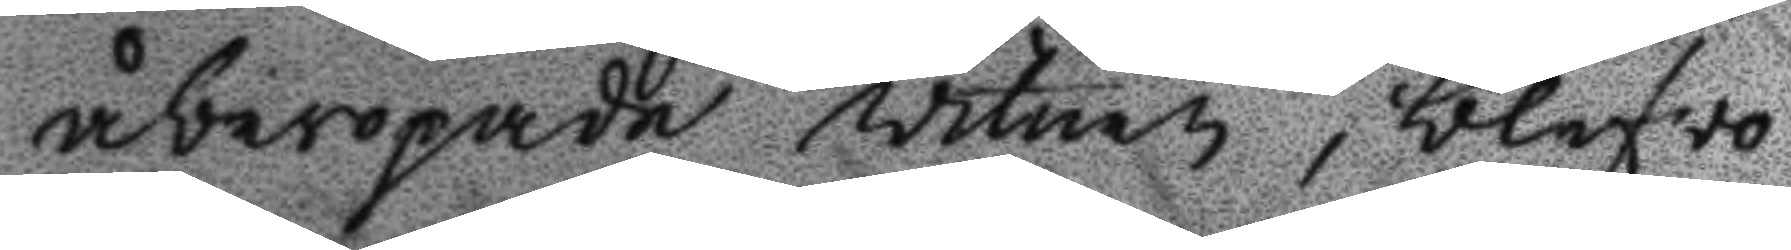åberopade vitnen, blefvo
